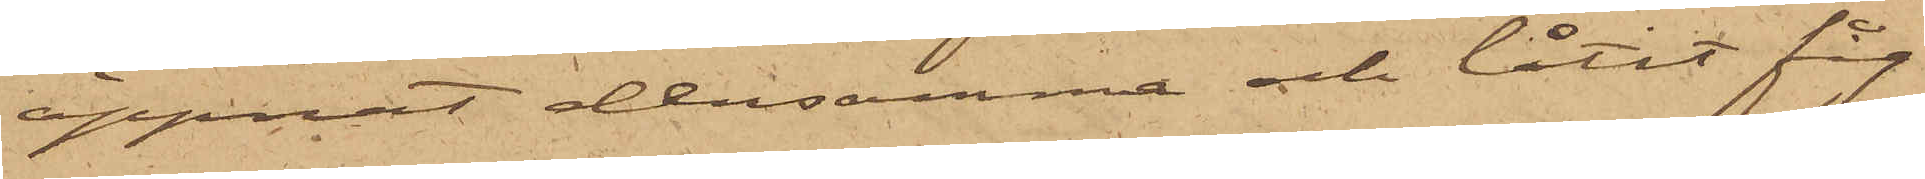öppnat densamma och låtit fåg¬
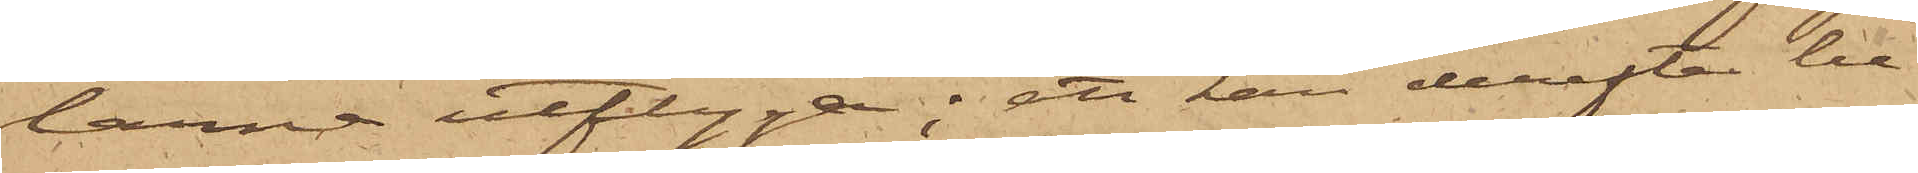larna utflyga; att han derefter be¬
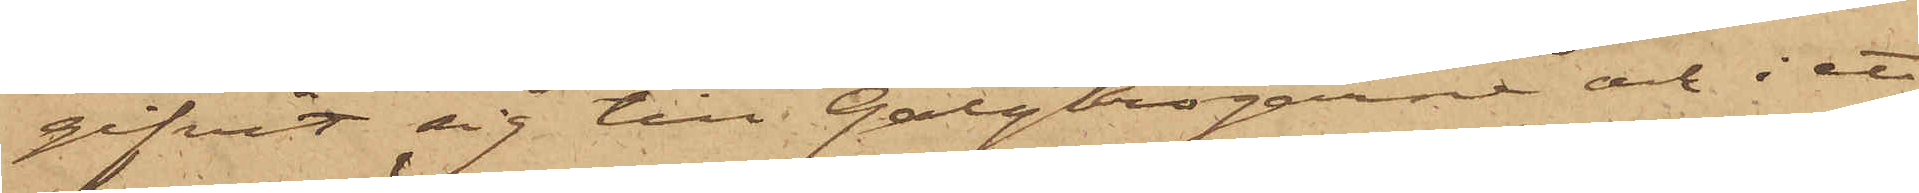gifvit sig till Galgkrogarne och i ett
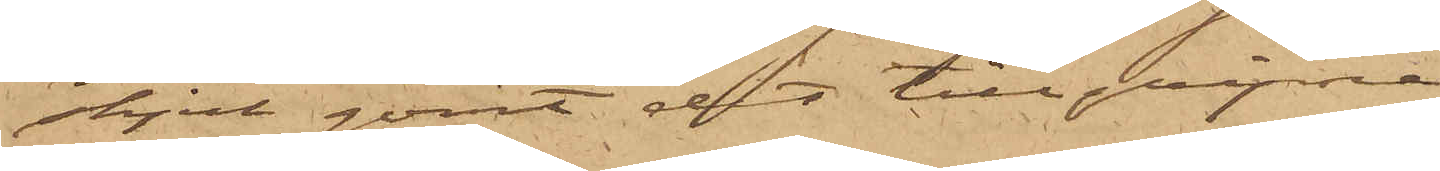skjul gömt det tillgripne,
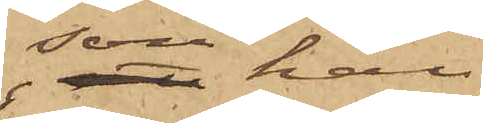som han
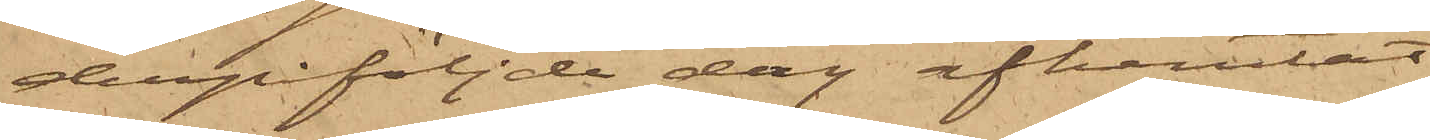derpåföljde dag afhemtat;
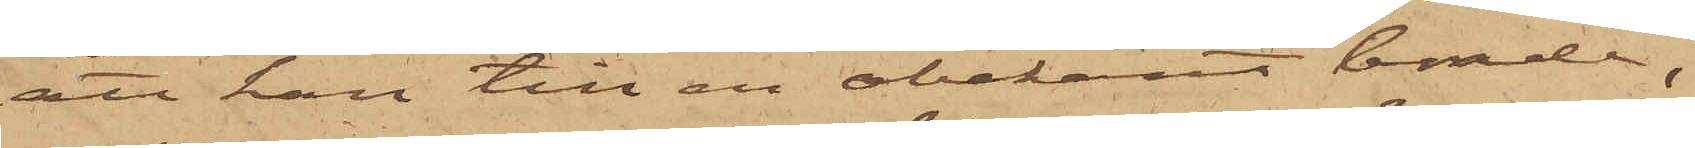att han till en obekant bonde,
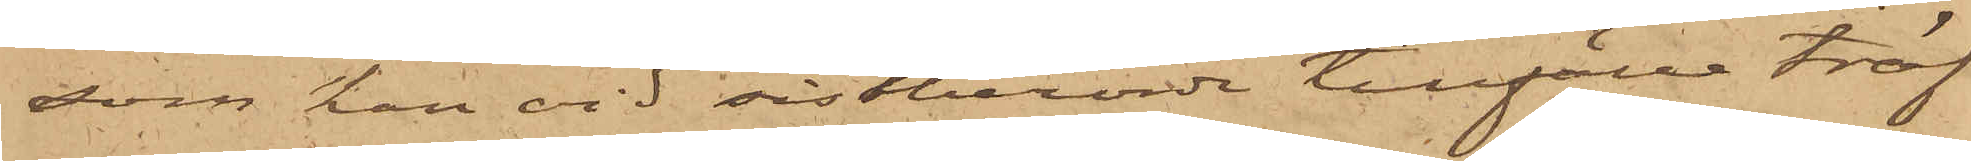som han vid sistberörde tillfälle träf¬
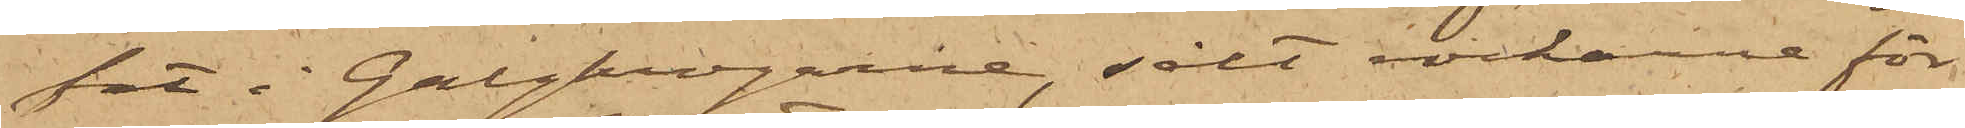fat i Galgkrogarne, sålt rockarne för
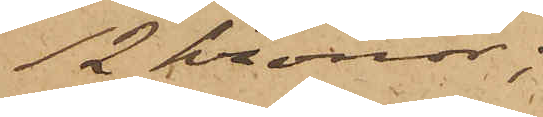12 kronor;
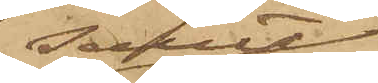samt
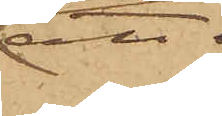att
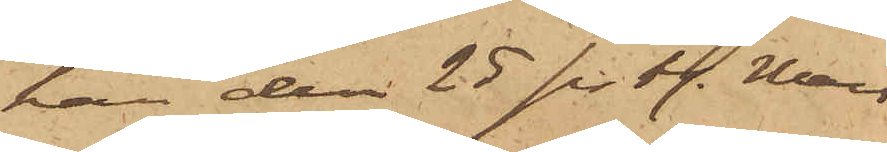han den 25 sistl. Mars
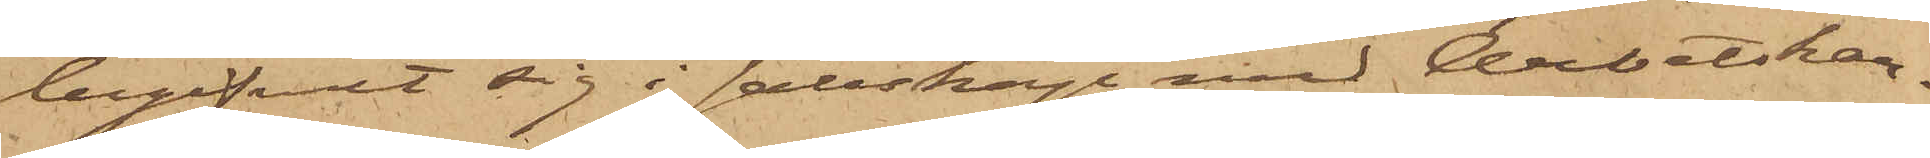begifvit sig i sällskap med Arbetskar¬
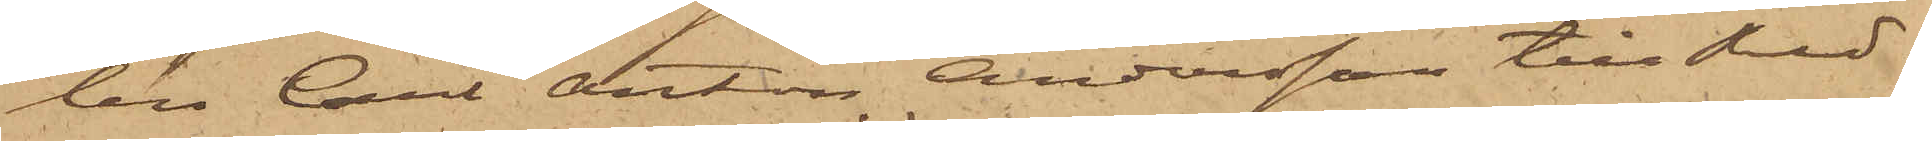len Carl Anton Andersson till Red¬
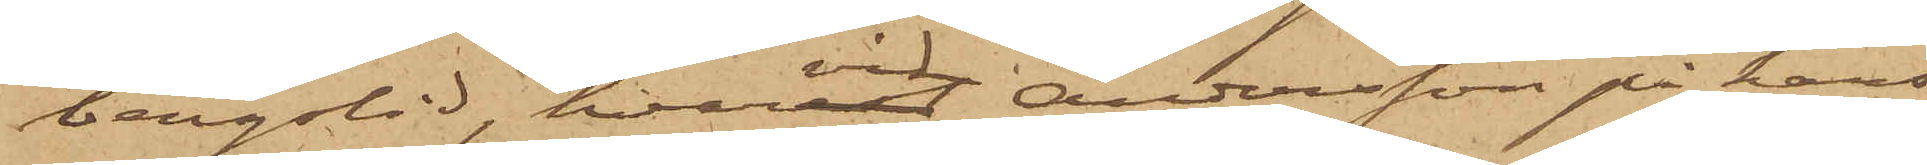bergslid, hvarvid Andersson på hans
